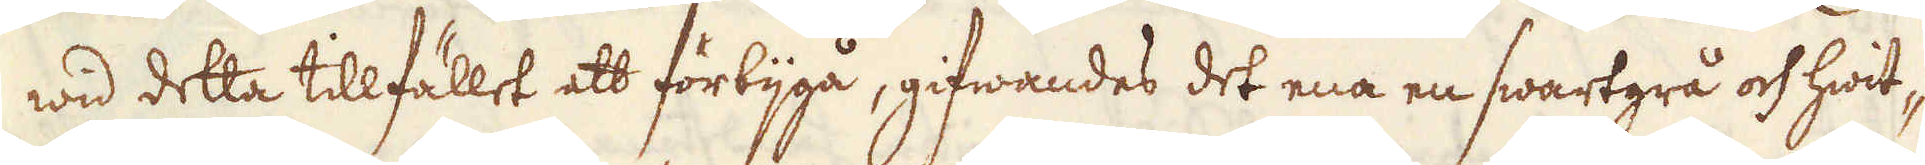wid detta tillfället att förbijgå, gifwandes det ena en swartgrå och hwit-
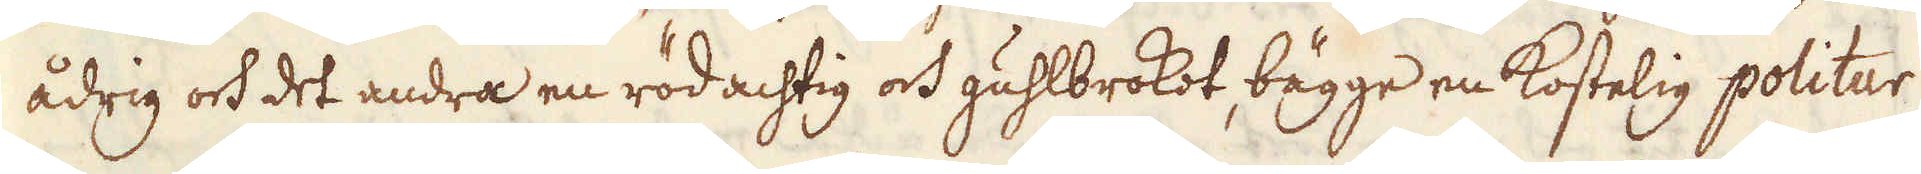ådrig och det andra en rödachtig och guhlbrokot, bägge en kostelig politur
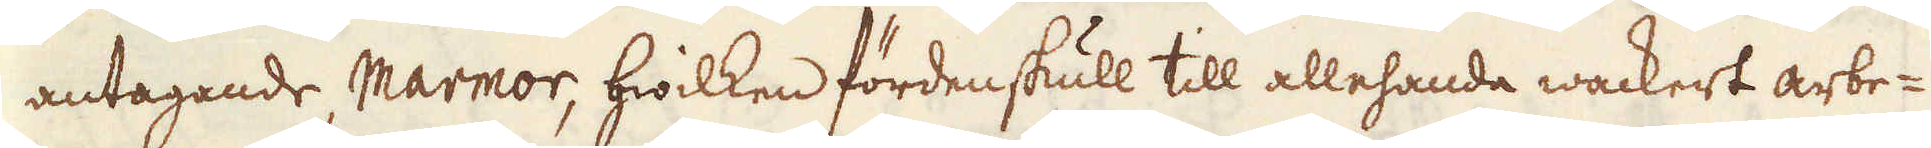antagande, Marmor, hwilken fördenskull till allehanda wackert arbe-
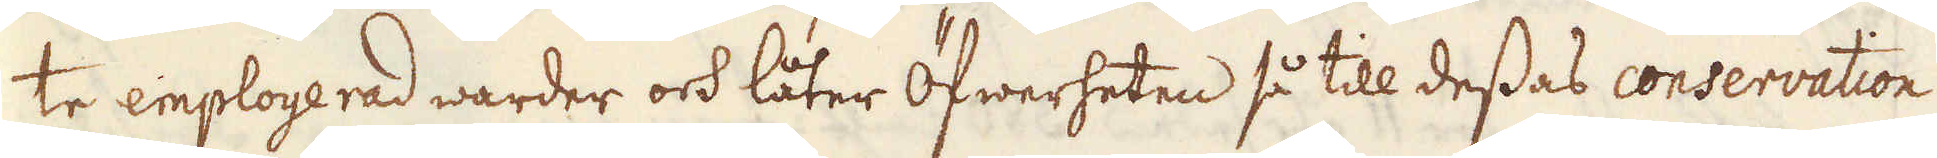te employerad warder och låter Öfwerheten så till dessas conservation
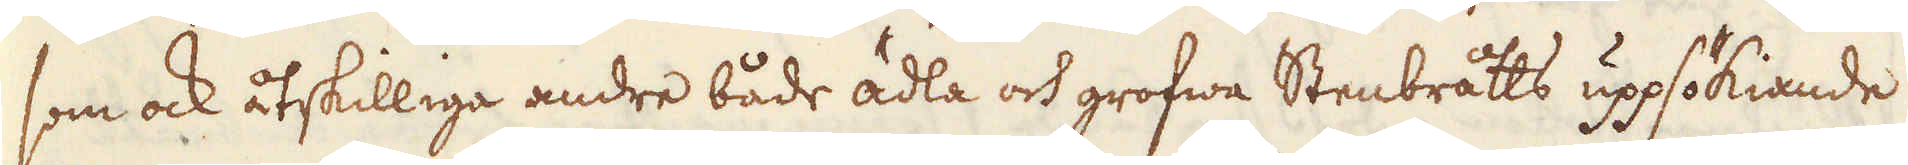som ock åtskilliga andre både ädla och grofwa Stenbråtts uppsökiande
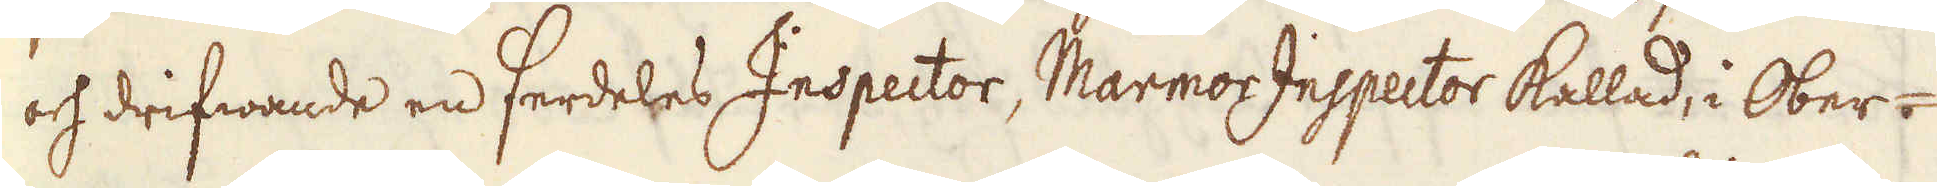och drifwande en serdeles Inspector, Marmor Inspector kallad, i Ober-
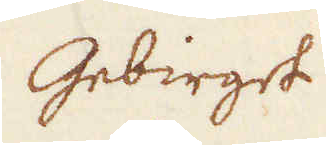Gebirget
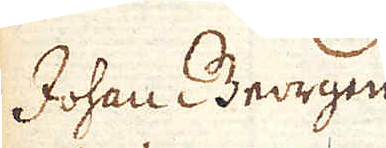Johan Georgen
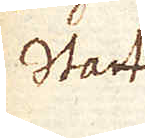Stadt
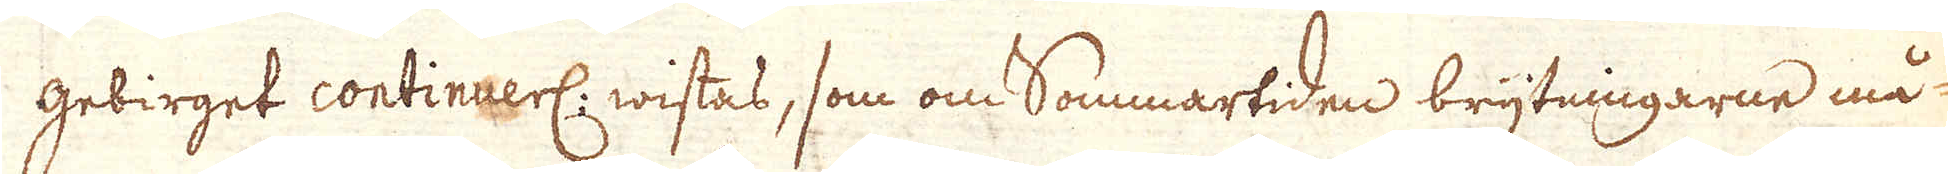gebirget continuerl: wistas, som om Sommartiden brytningarne må-
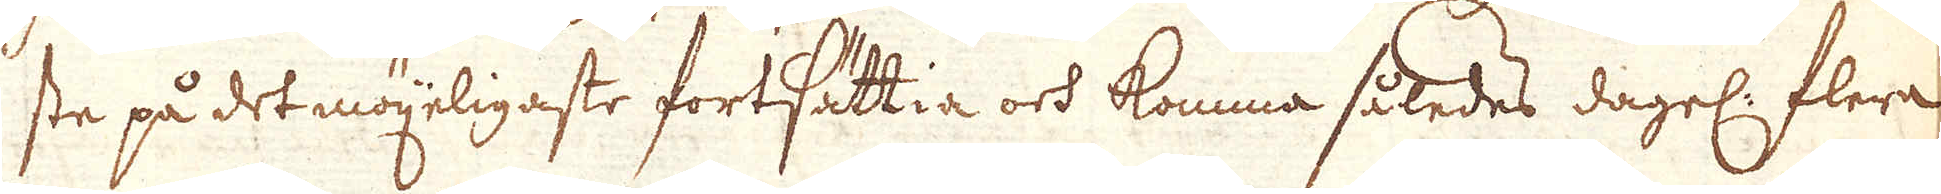ste på det möjeligaste fortsättia och komma således dagel: flera
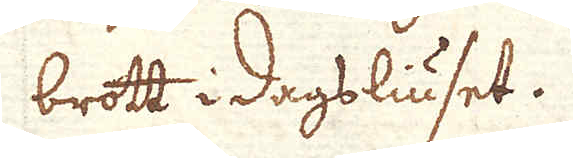brott i dagsliuset.
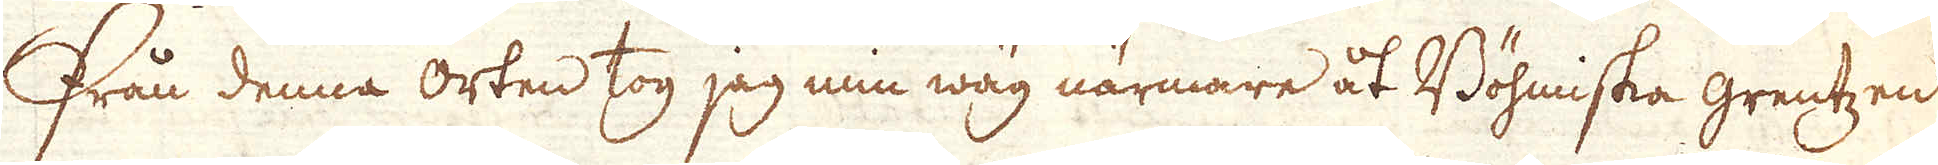Från denna orten tog jag min wäg närmare åt Böhmiska grentzen
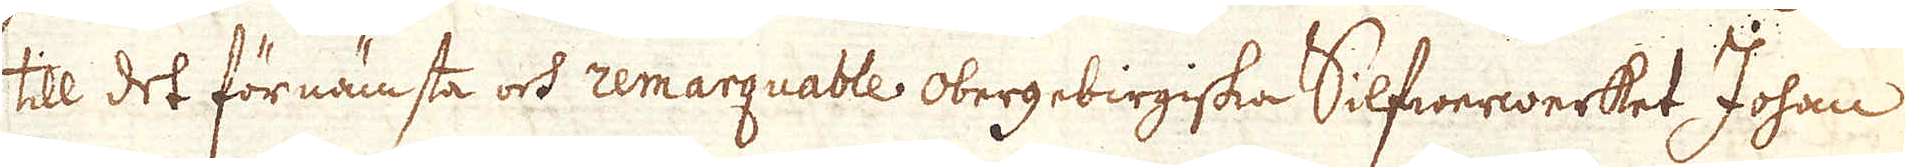till det för nämsta och remarquable Obergebirgiska Silfwerwerket Johan
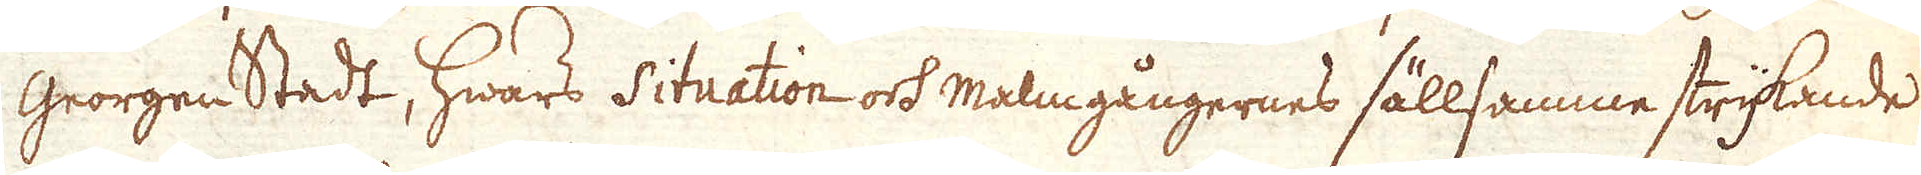Georgen Stadt, hwars situation och malmgångernes sällsamme strykande
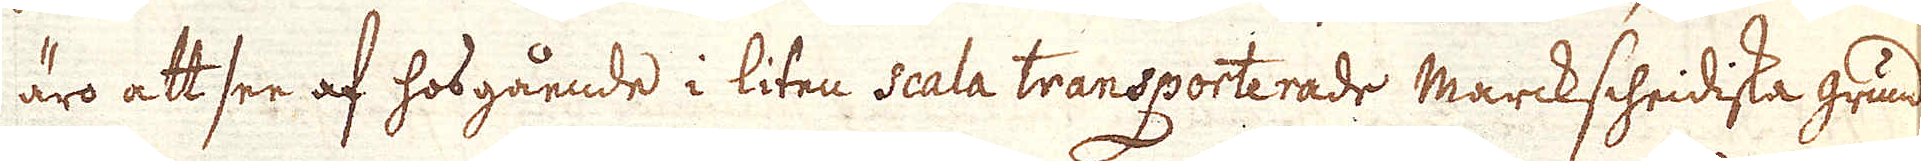äro att see af hosgående i liten scala transporterade Marckscheidiska grund-
